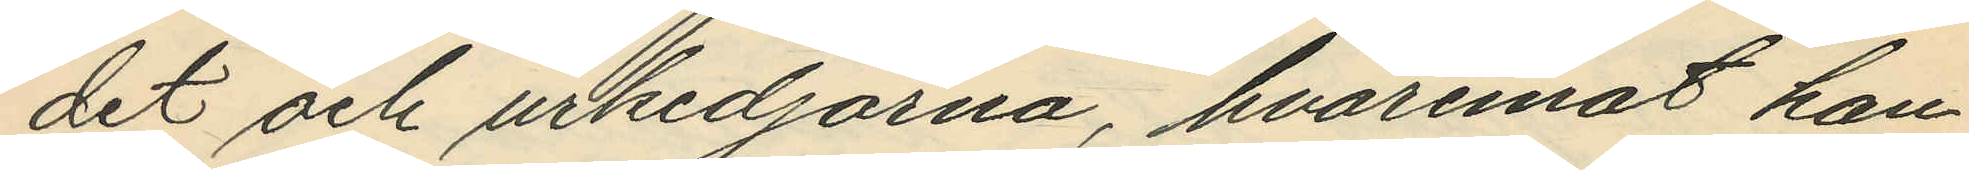det och urkedjorna, hvaremot han
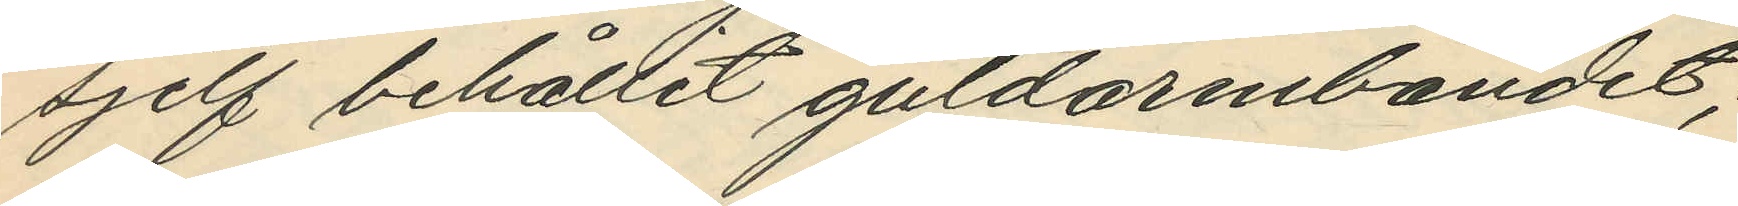sjelf behållit guldarmbandet;
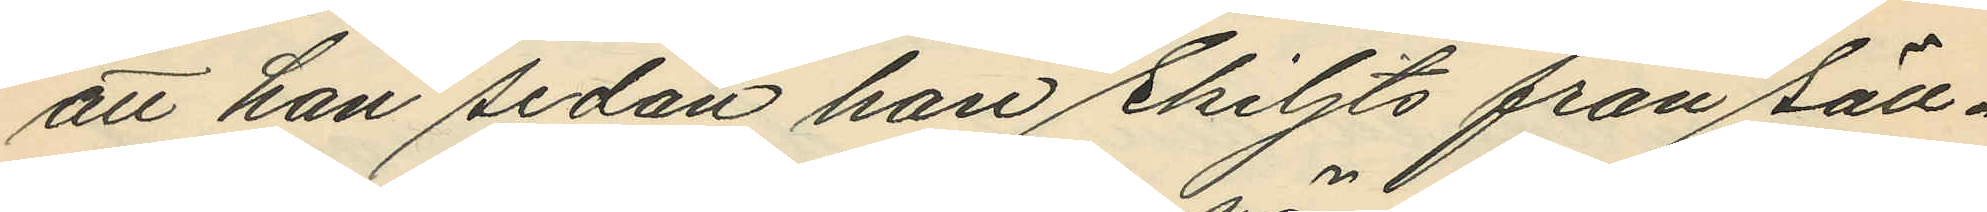att han sedan han skiljts från säll¬
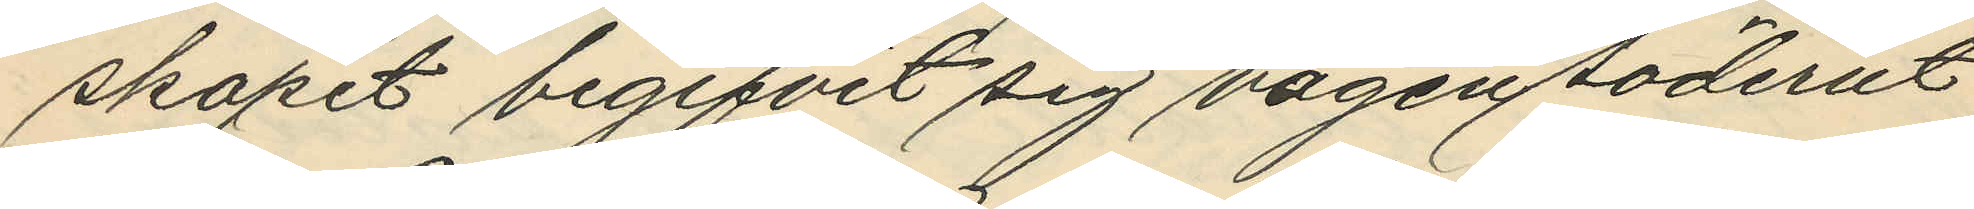skapet begifvit sig vägen söderut
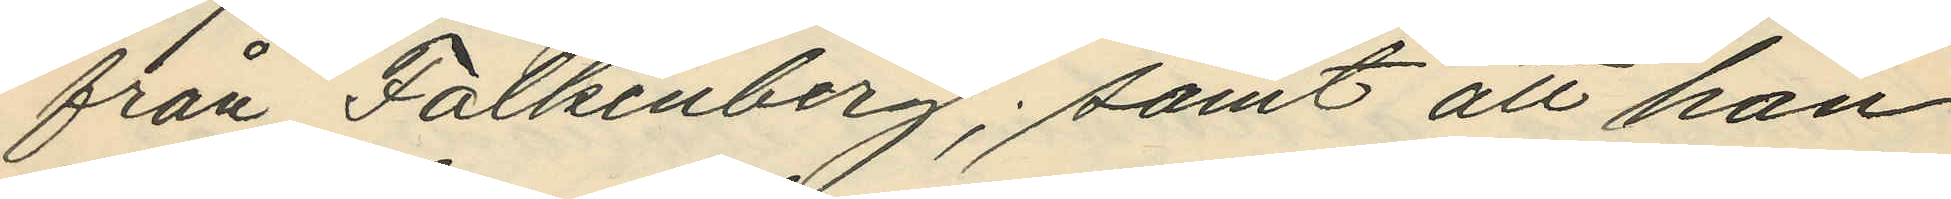från Falkenberg; samt att han
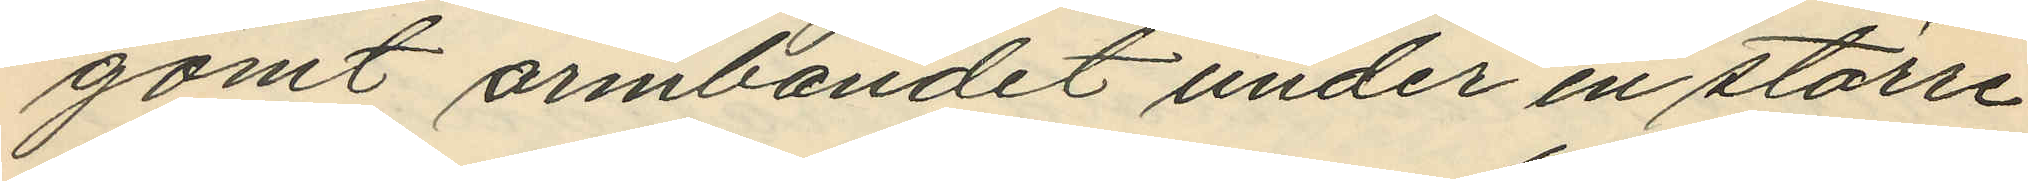gömt armbandet under en större
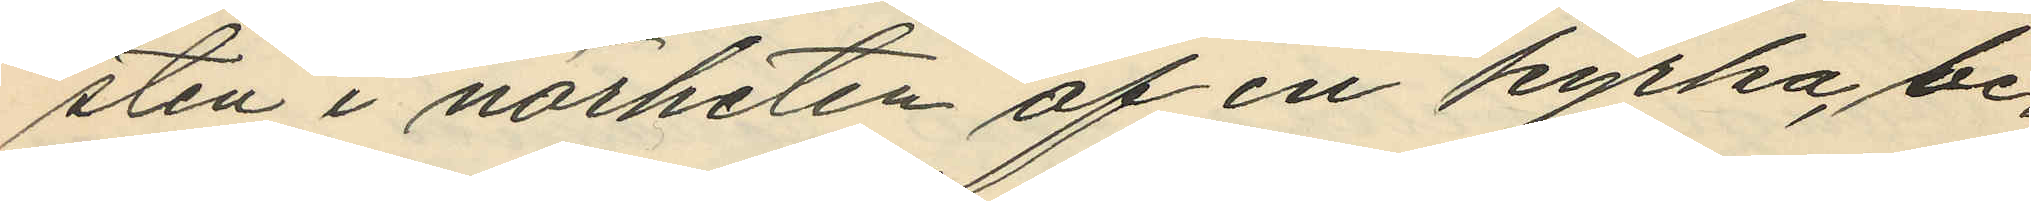sten i närheten af en kyrka, be¬
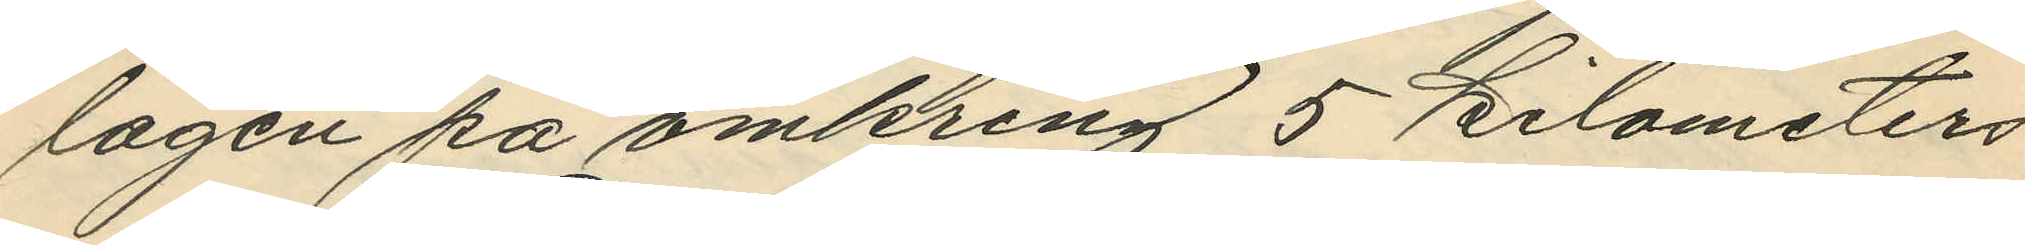lägen på omkring 5 kilometers
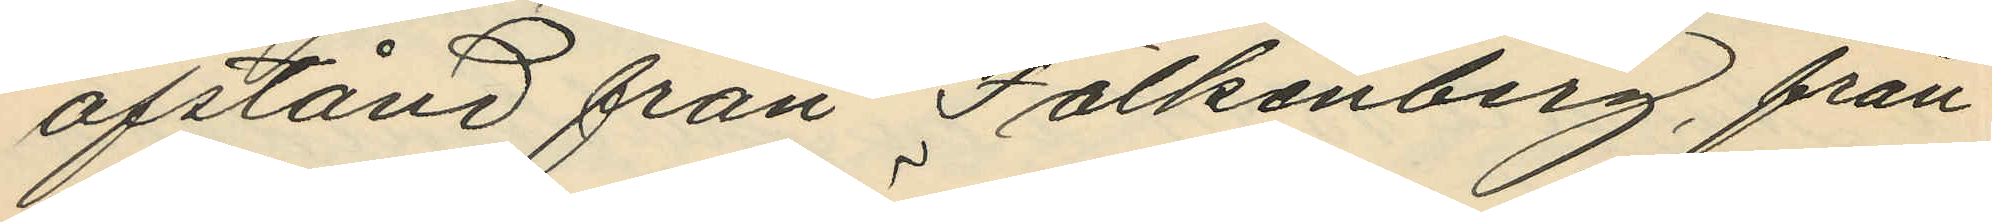afstånd från Falkenberg, från
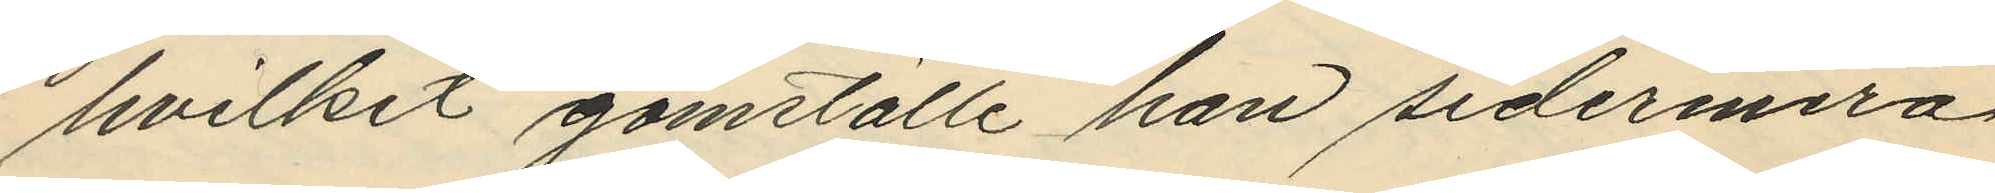hvilket gömställe han sedermera
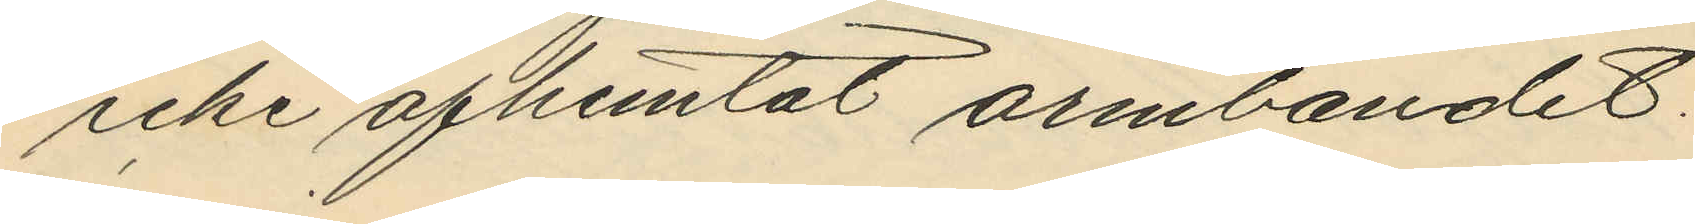icke afhemtat armbandet.
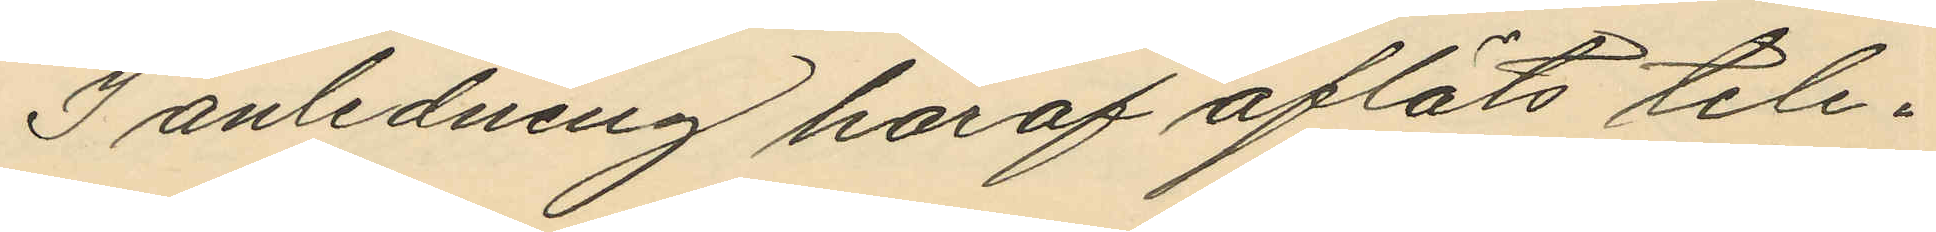I anledning haraf afläts tele¬
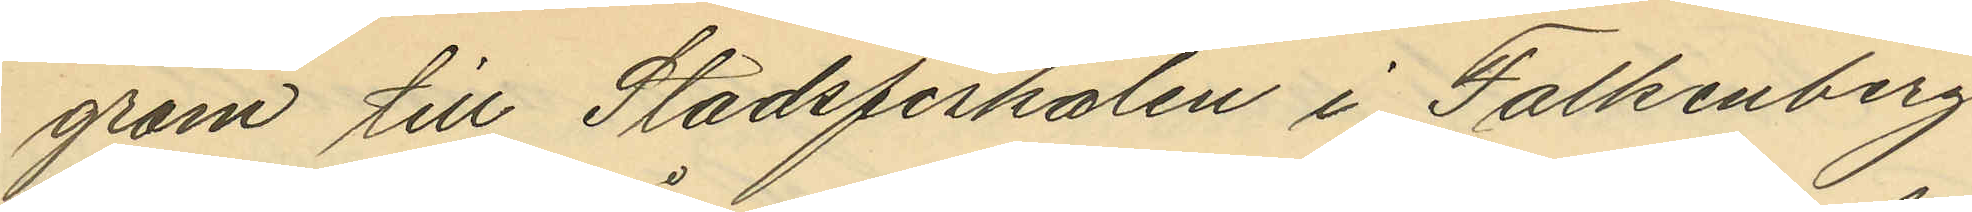gram till Stadsfiskalen i Falkenberg
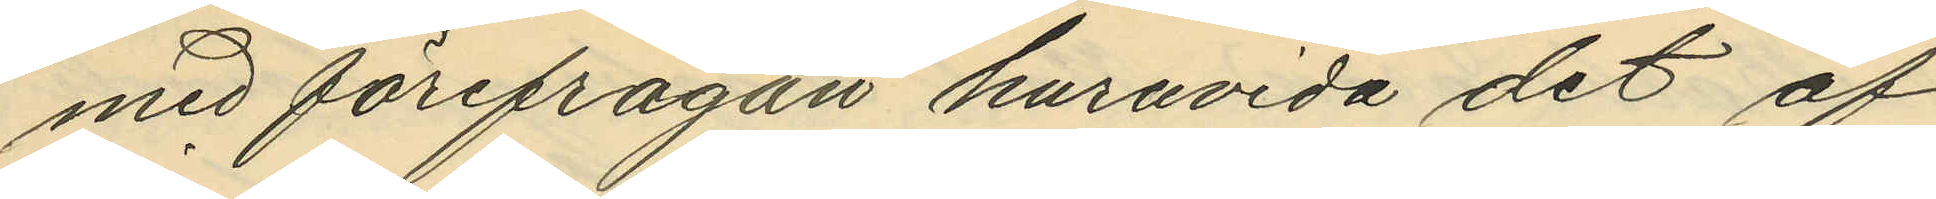med förefrågan huruvida det af
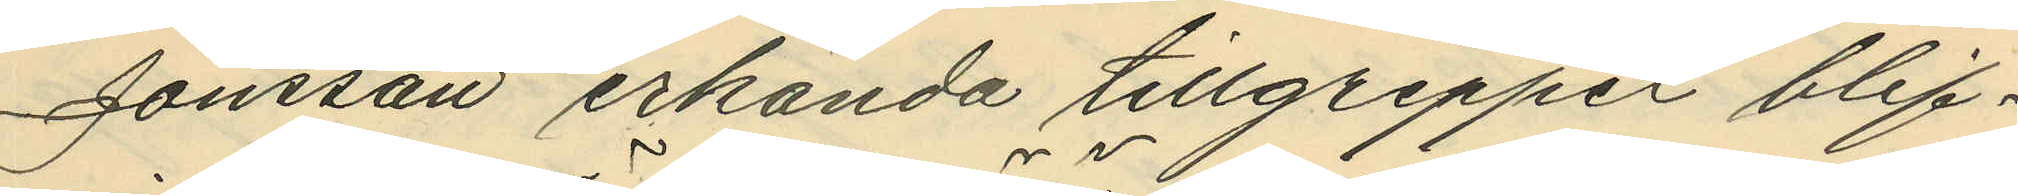Jonsson erkända tillgreppet blif¬
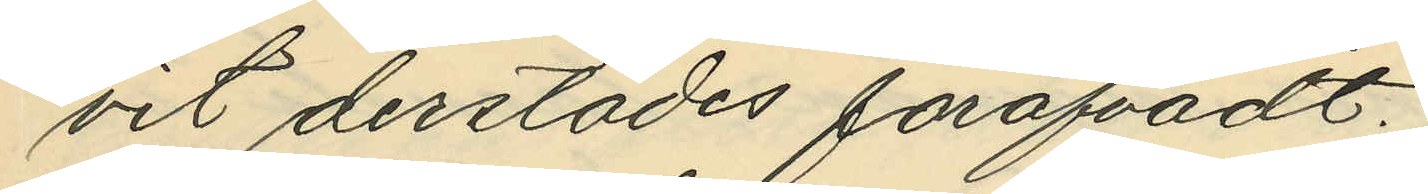vit derstädes föröfvadt.
